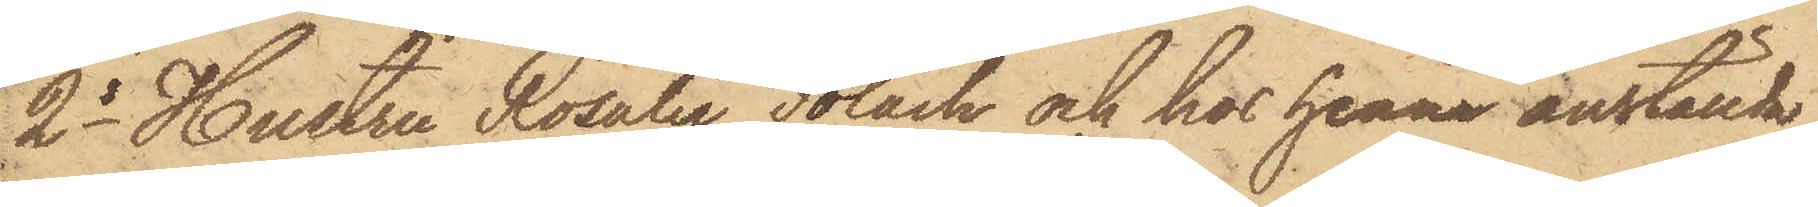2o Hustru Rosalie Polack och hos henne anställda
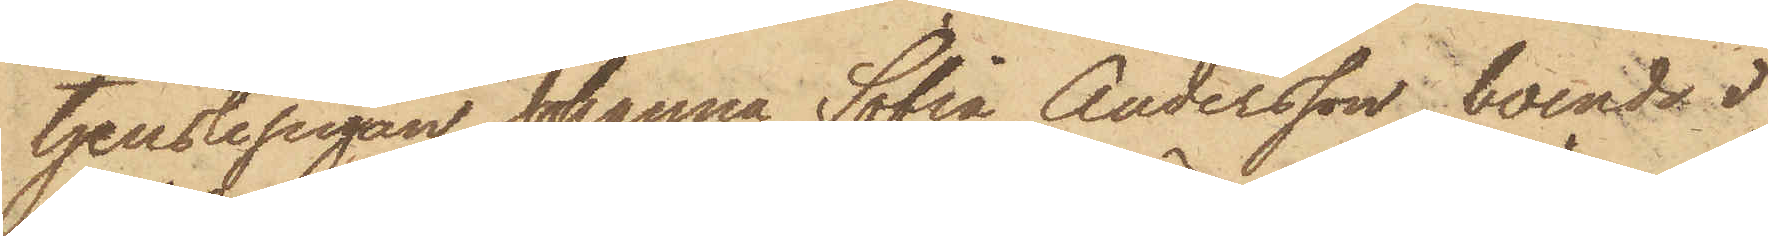tjenstepigan Johanna Sofia Andersson, boende i
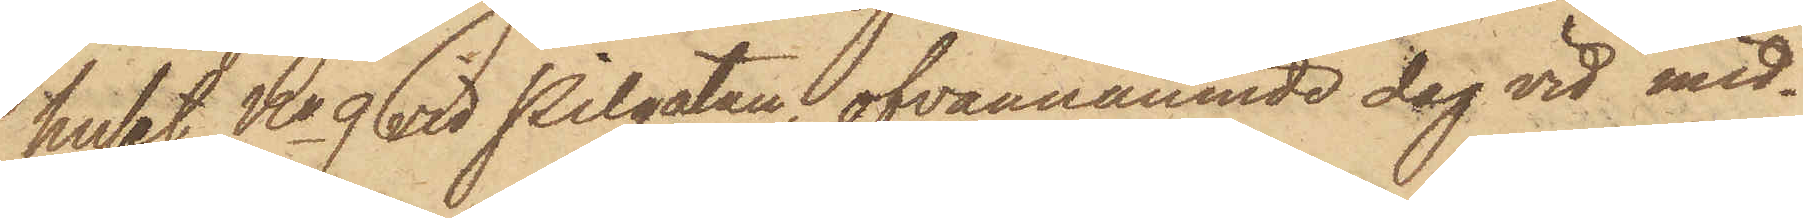huset No 9 vid Pilgatan, ofvannämnde dag vid mid¬
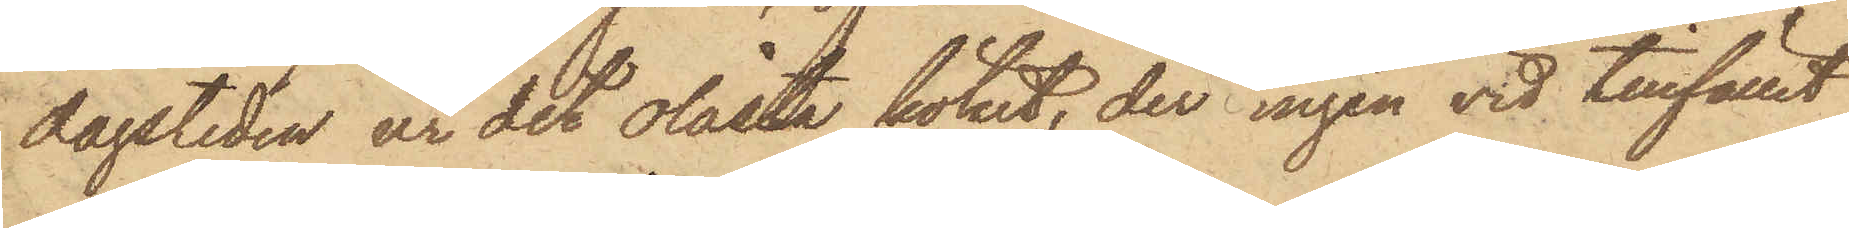dagstiden ur det olåsta köket, der ingen vid tillfället
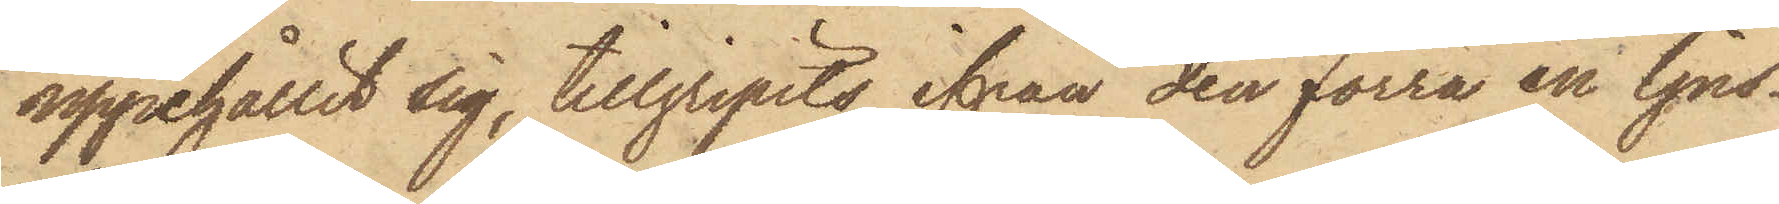uppehållit sig, tillgripits ifrån den förra en ljus¬
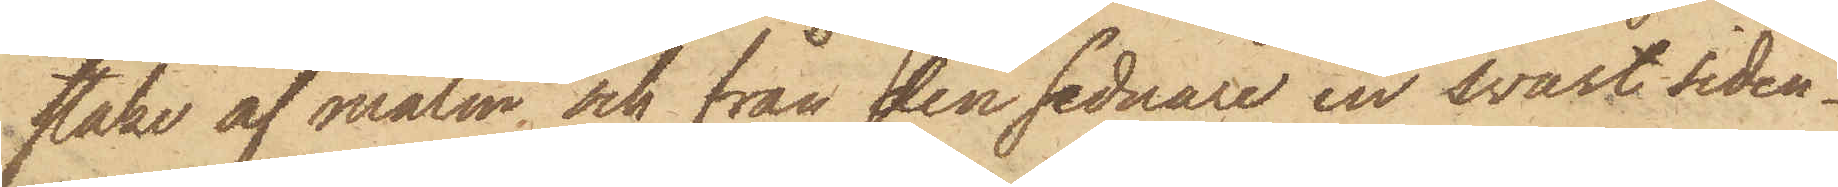stake af malm och från den sednare en svart siden¬
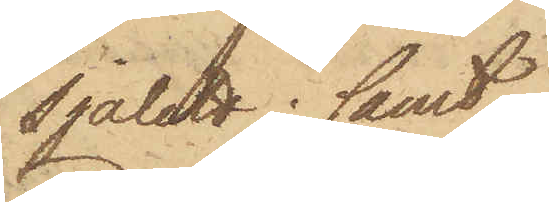sjalett; samt
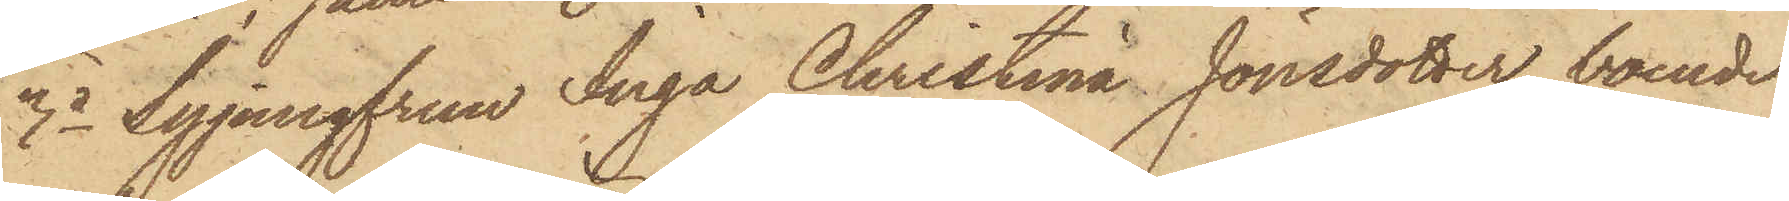3o Syjungfrun Inga Christina Jönsdotter, boende
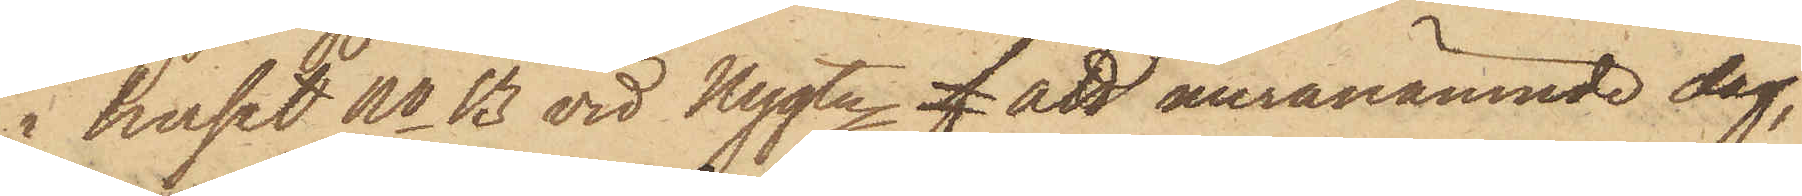i huset No 13 vid Nygtn f att meranämnde dag,
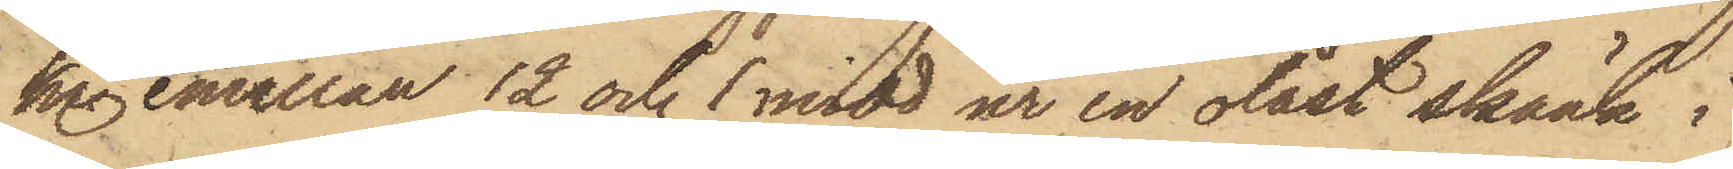kl. emellan 12 och 1 midd ur en olåst skänk i
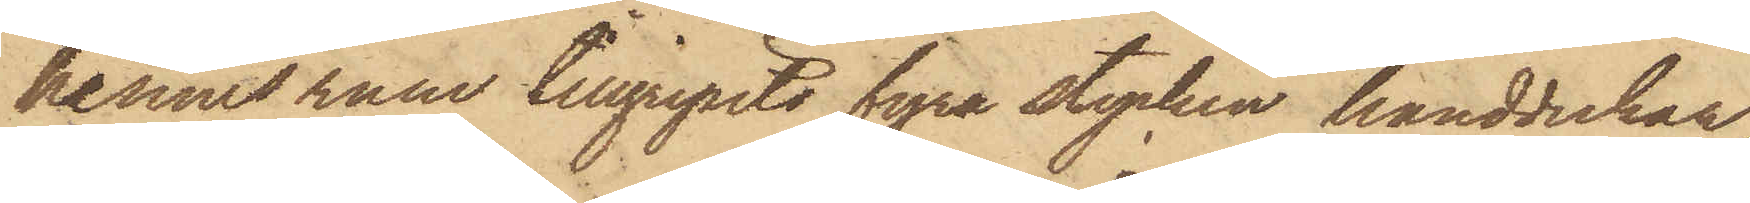hennes rum tillgripits fyra stycken handdukar,
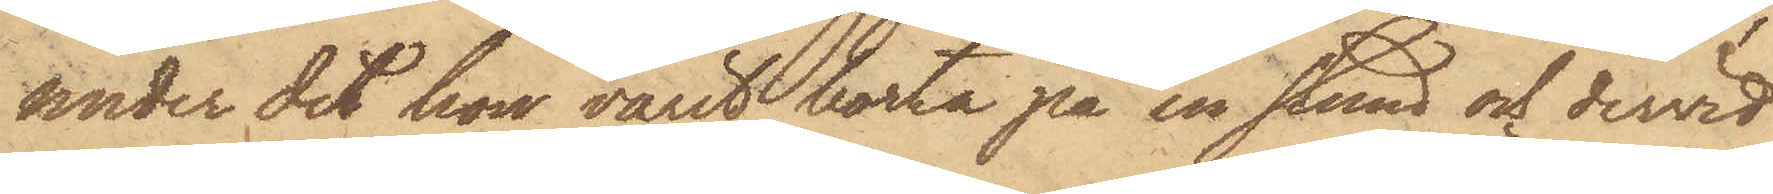under det hon varit borta på en stund och dervid
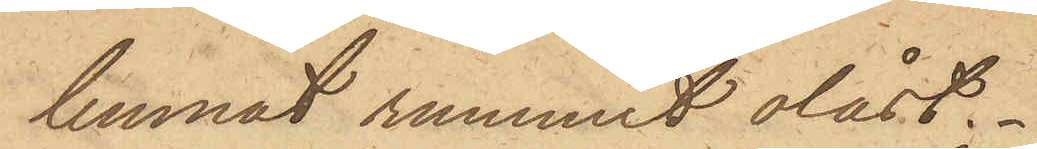lemnat rummet olåst.
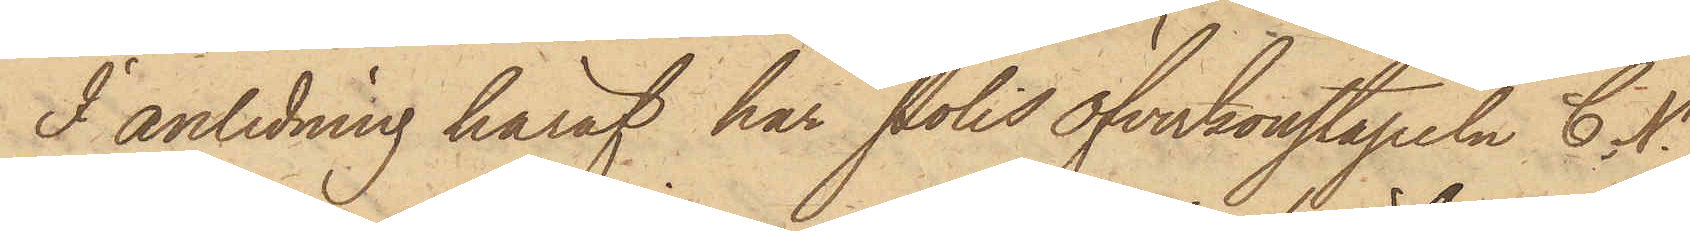I anledning häraf har Polisöfverkonstapeln C. N.
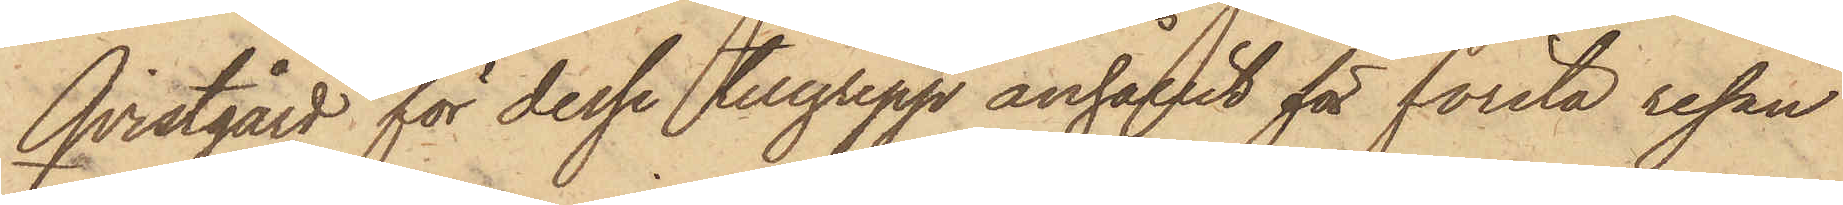Qvistgård för dessa tillgrepp anhållit för första resan
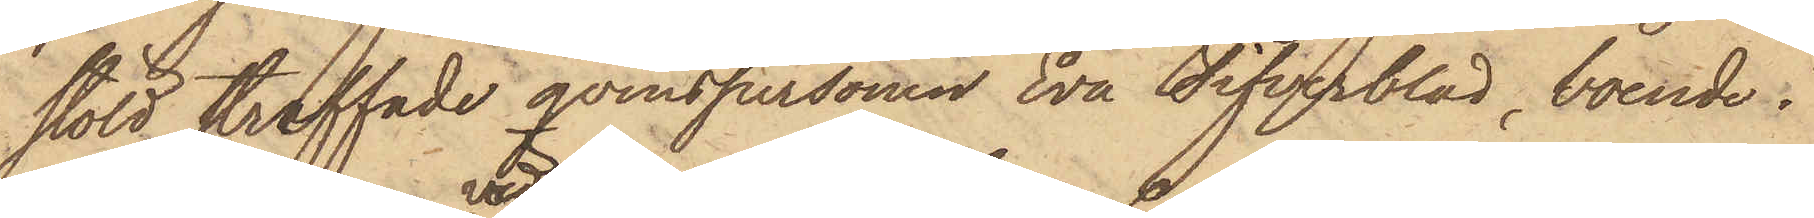stöld straffade qvinspersonen Eva Tifverblad, boende i
